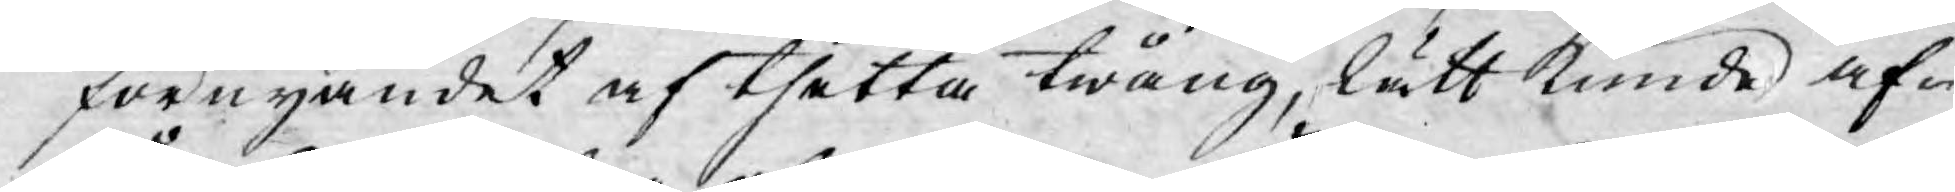förnyandet af thetta twång, lätt kunde af¬
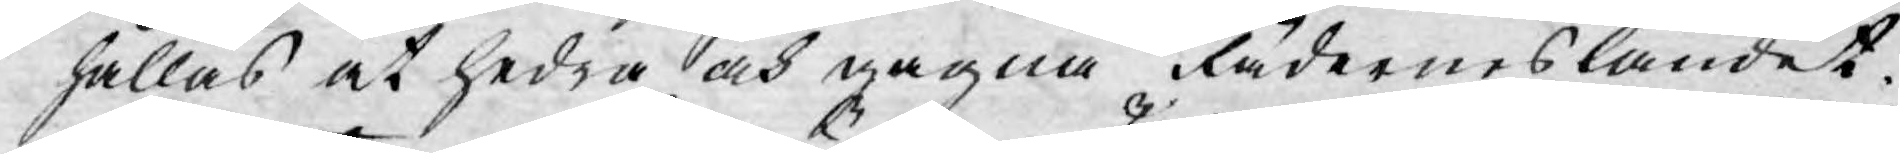hållas at hedra och gagna Fäderneslandet.
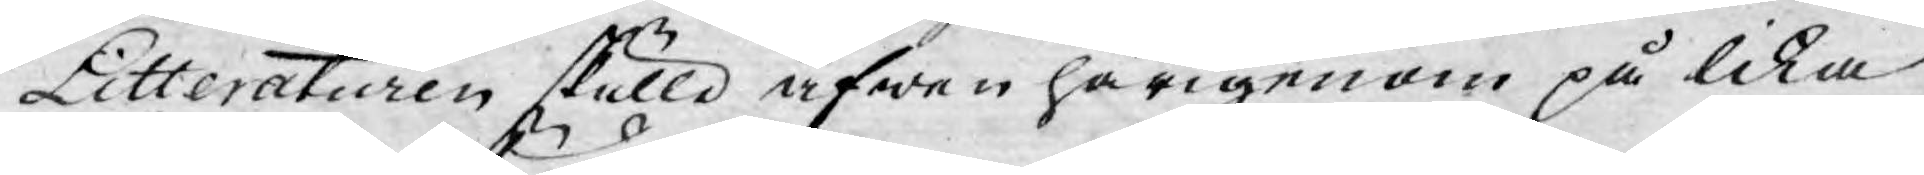Litteraturen skulle äfwen härigenom på lika
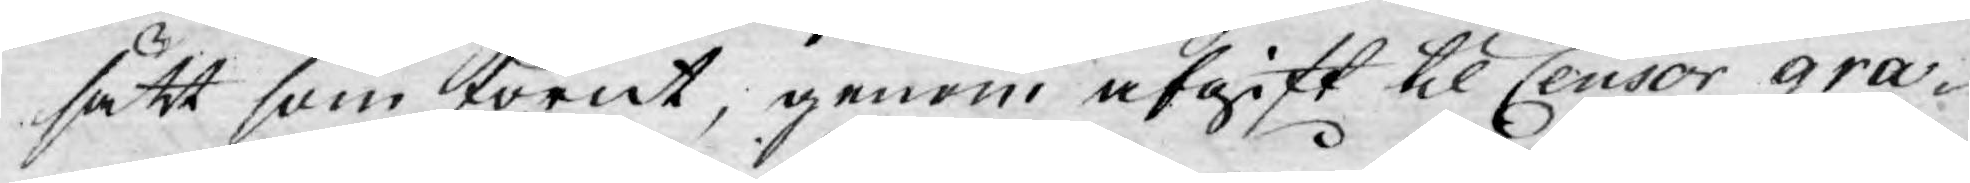sätt som förut, genom afgift til Censor gra¬
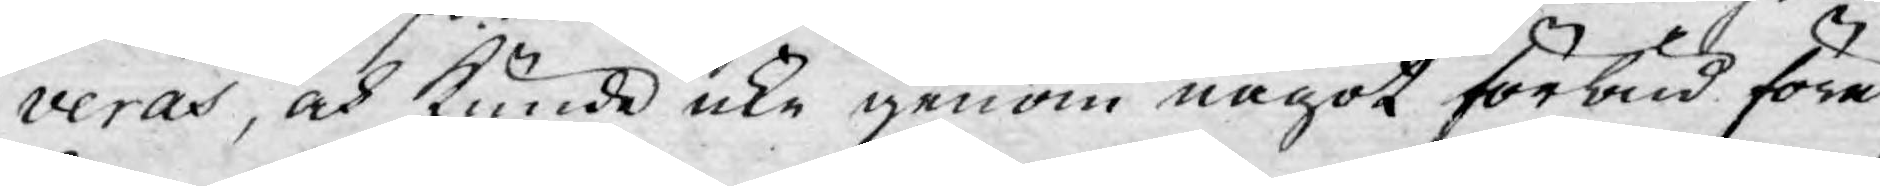veras, och kunde icke genom något förbud före¬
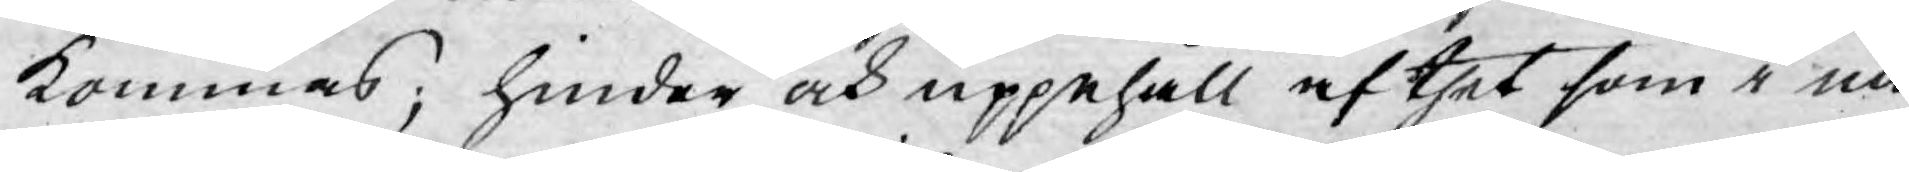kommas; hinder och uppehåll af thet som i nå¬
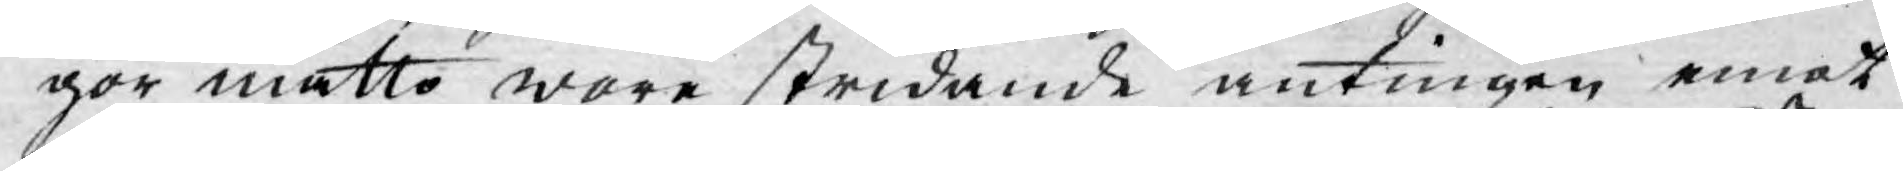gor måtto wore stridande antingen emot
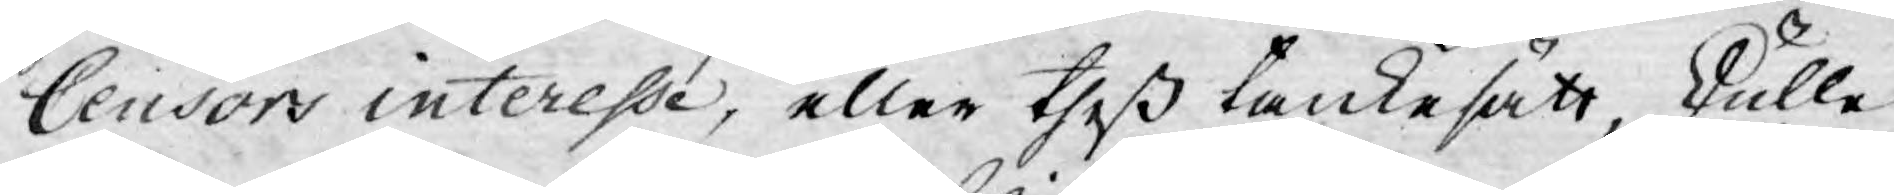Censors interesse, eller theß tankesätt, skulle
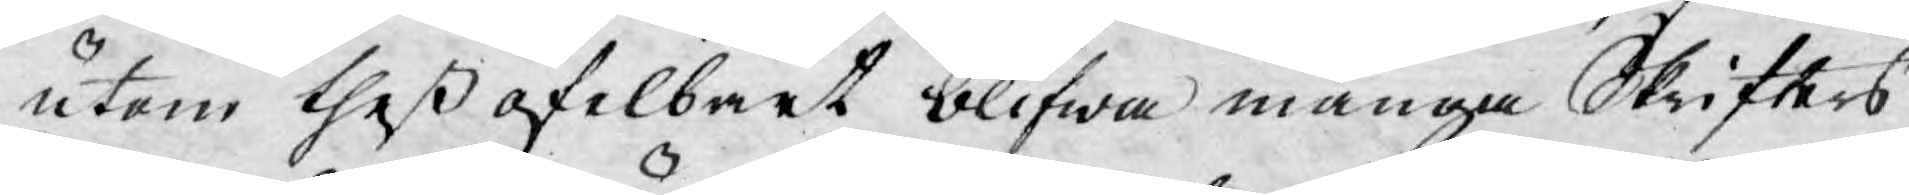utom theß ofelbart blifwa många Skrifters
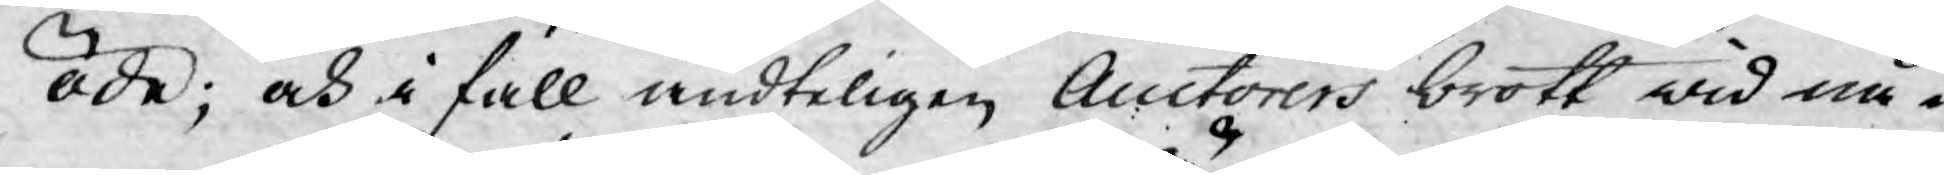öde; och i fall ändteligen Auctorers brott wid nå¬
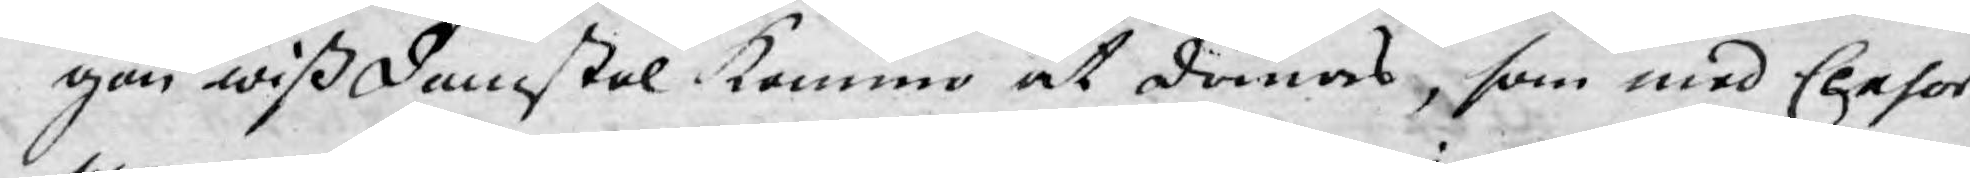gon wiß Domstol kommo at dömas, som med Censor
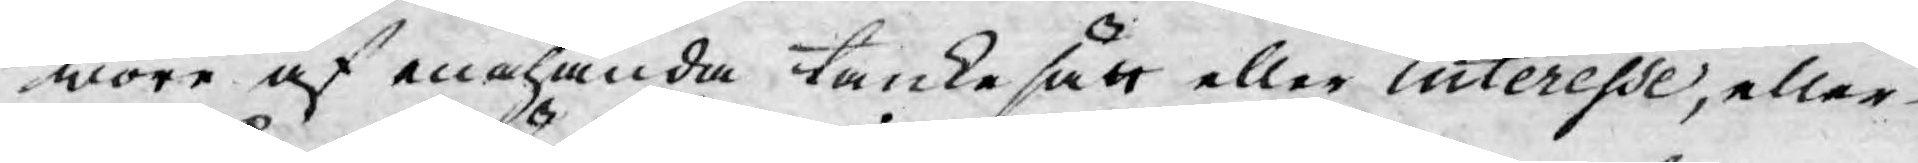wore af enahanda tankesätt eller interesse, eller
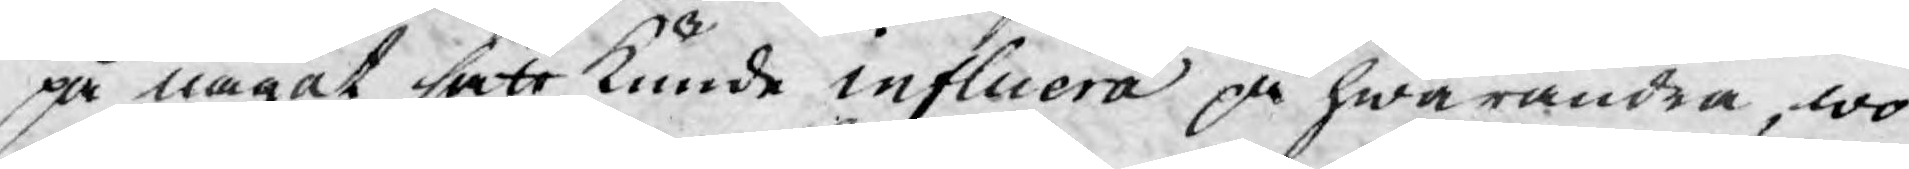på något sätt kunde influera på hwarandra, wo¬
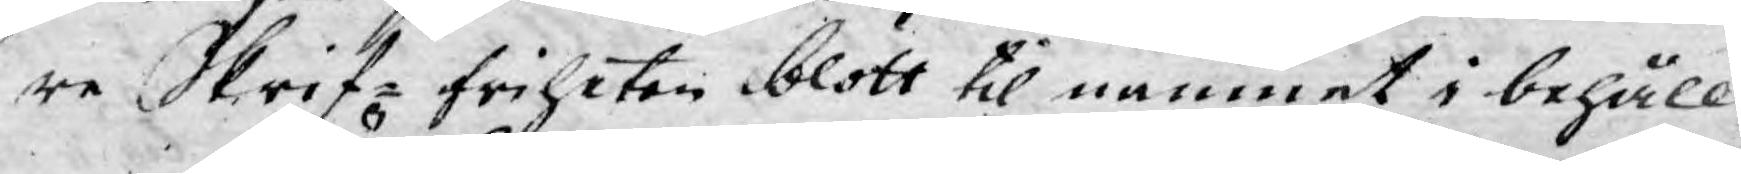re Skrif- friheten blott til namnet i behåll.
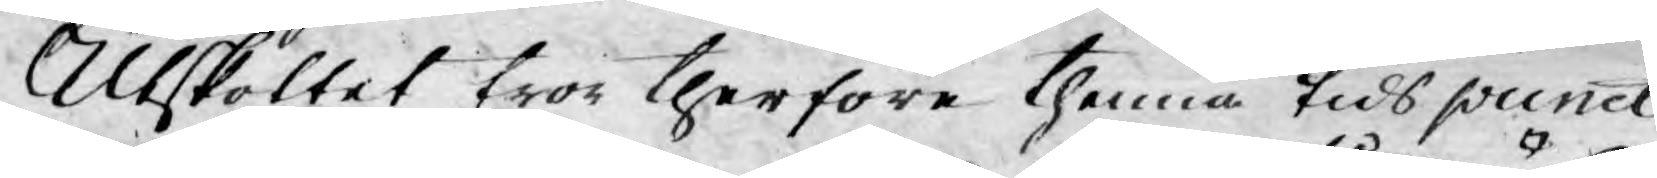Utskottet tror therföre thenna tids punct
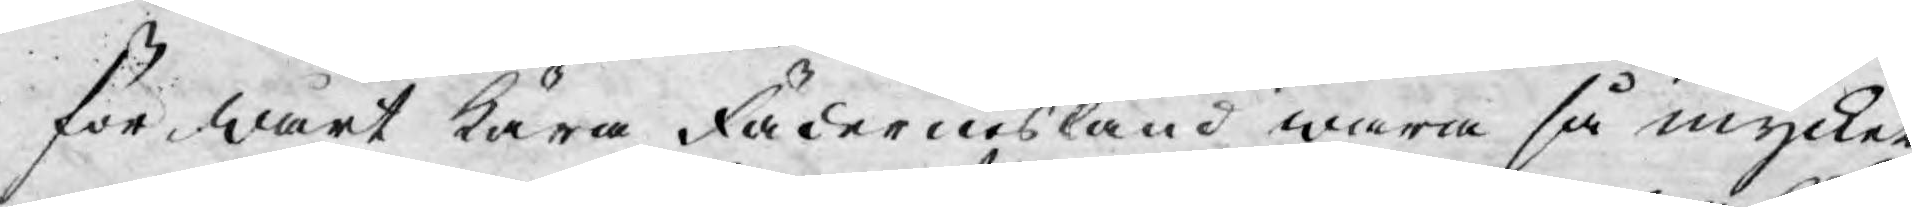för wårt kära Fädernesland wara så mycket
